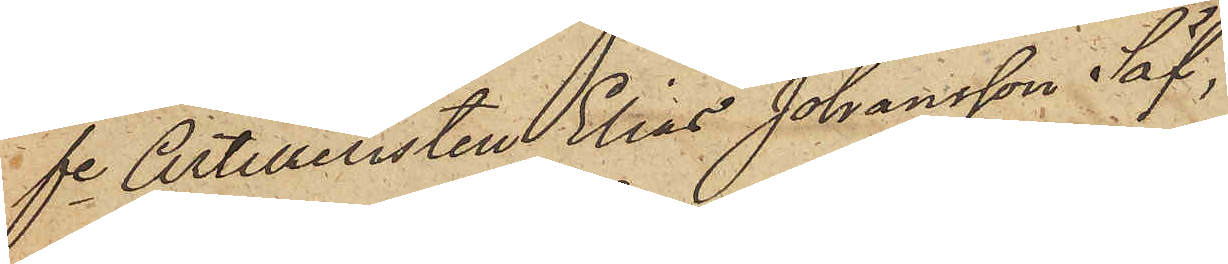fre Artilleristen Elias Johansson Säf
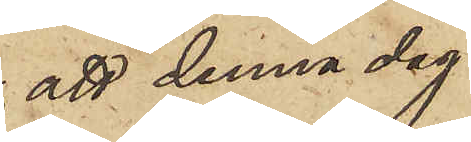att denna dag
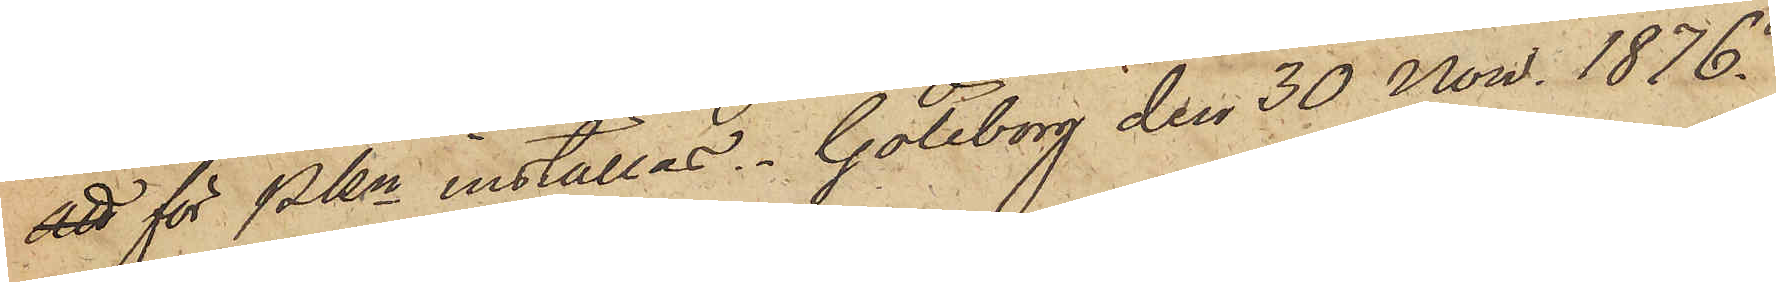att för PKn inställas. Göteborg den 30 Nov. 1876.
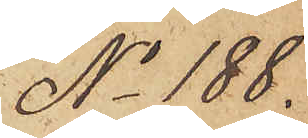No 188.
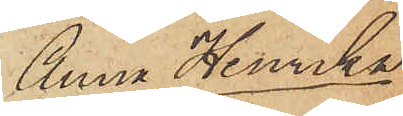Anna Henrika
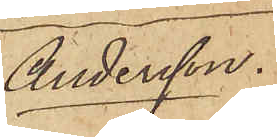Andersson.
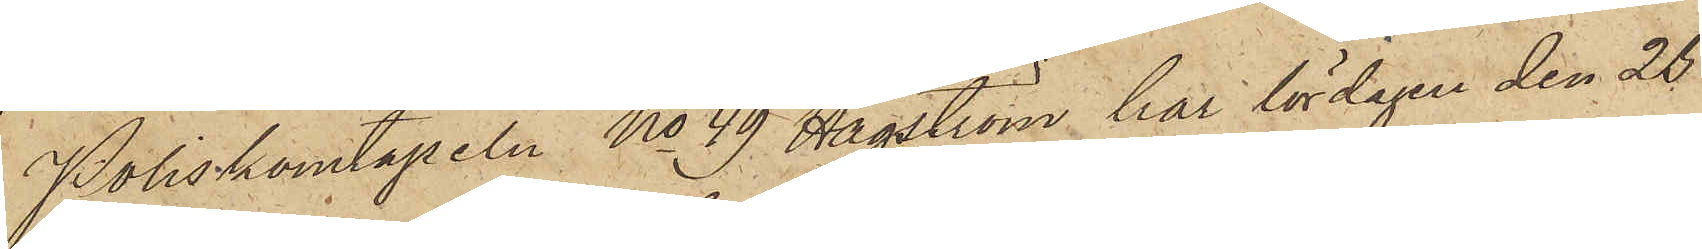Poliskonstapeln No 49 Hagström har lördagen den 25
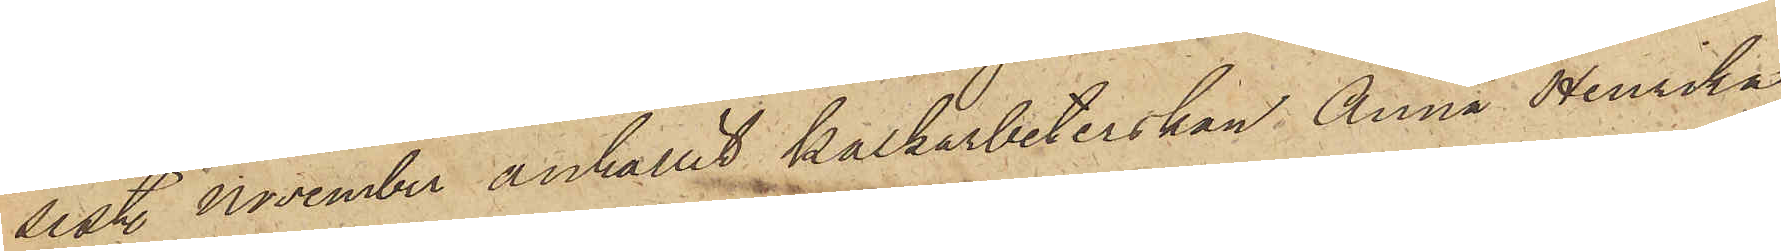sist. November anhållit kalkarbeterskan Anna Henrika
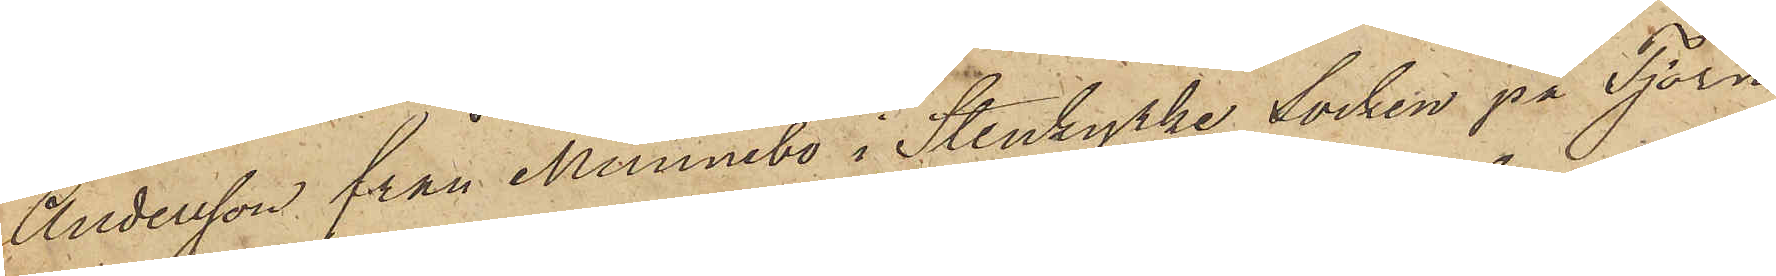Andersson från Munnebo i Stenkyrka Socken på Tjörn,
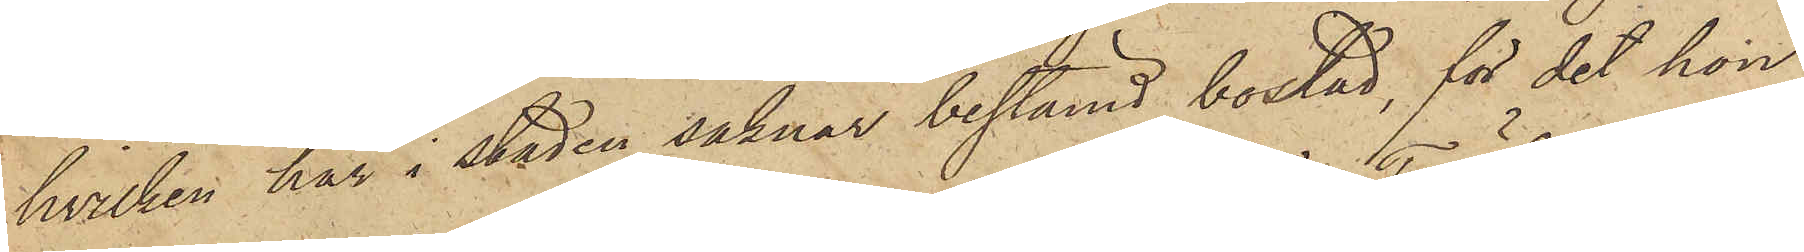hvilken här i staden saknar bestämd bostad, för det hon
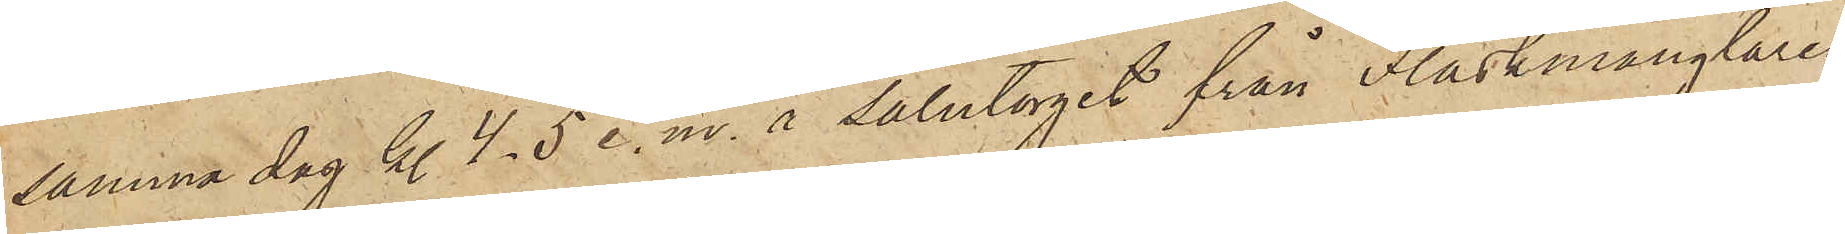samma dag kl. 4-5 e. m. å Salutorget från Fläskmånglaren
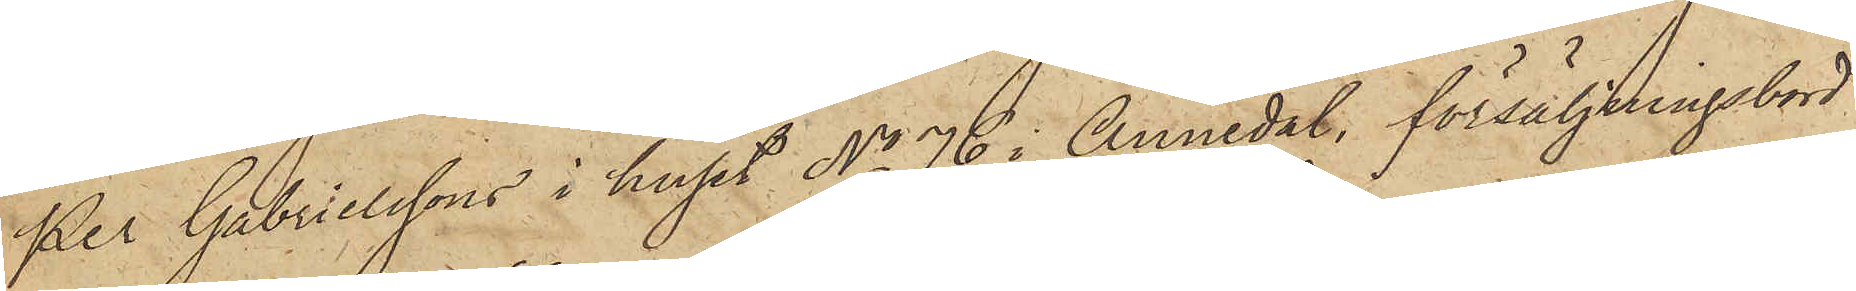´Per Gabrielssons i huset No 76 i Annedal försäljningsbord
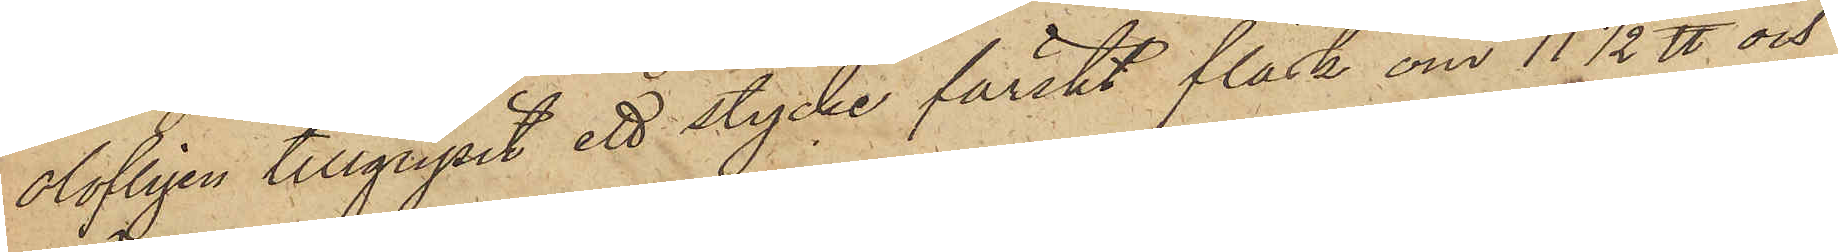olofligen tillgripit ett stycke färskt fläsk om 11½ ℔ och
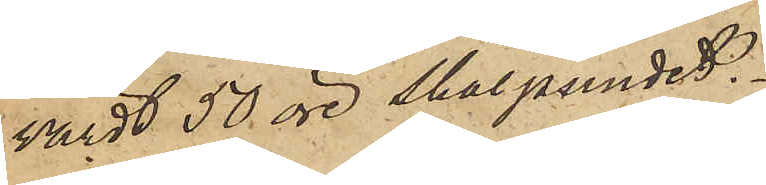värdt 50 öre skålpundet.
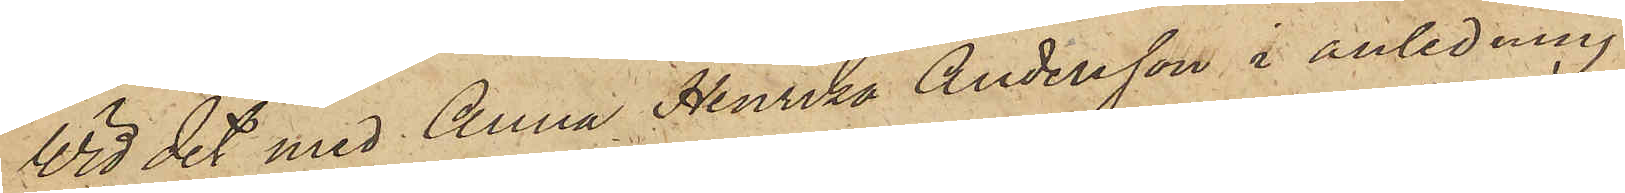Vid det med Anna Henrika Andersson i anledning
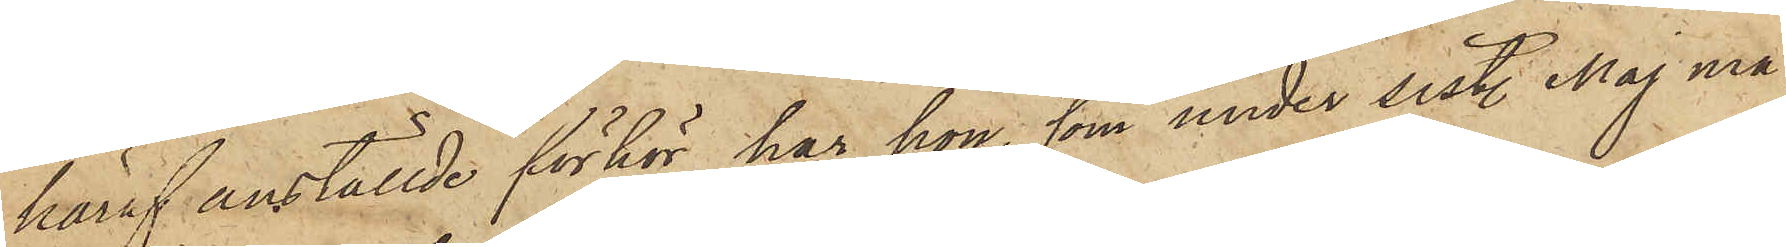häraf anställde förhör har hon, som under sist. Maj må¬
